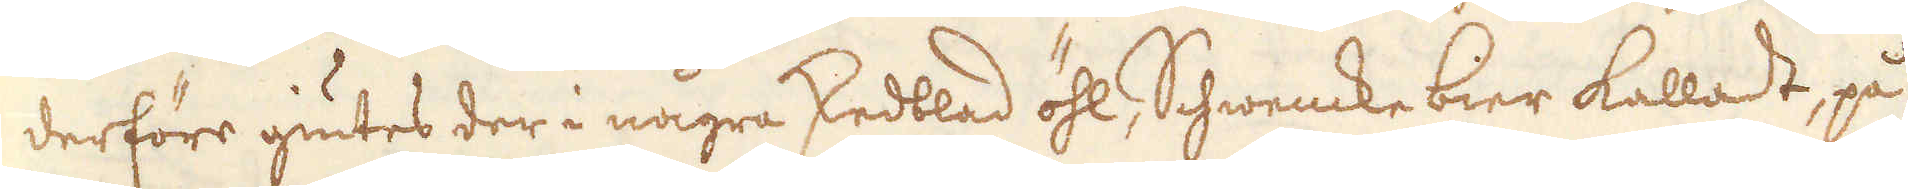derföre giutes der i några skedblad öhl, Schwencke bier kalladt, på
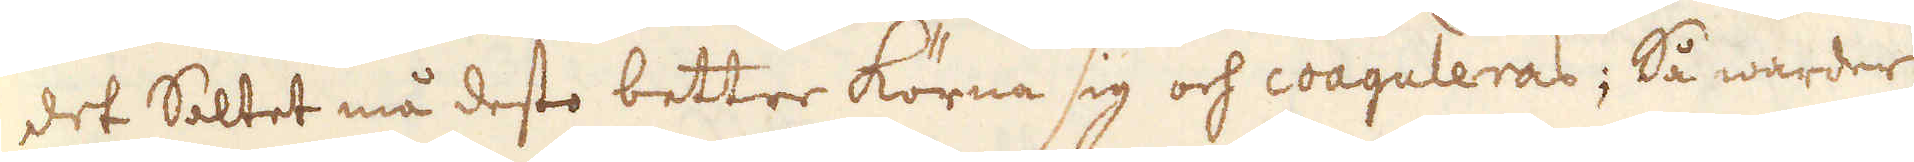det Saltet må desto bettre körna sig och coaguleras; Så warder
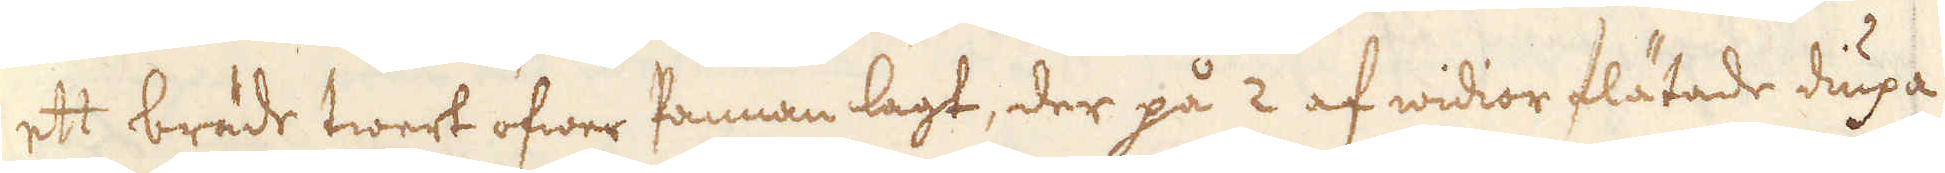ett bräde twert öfwer Pannan lagt, der på 2 af widior flätade diupa
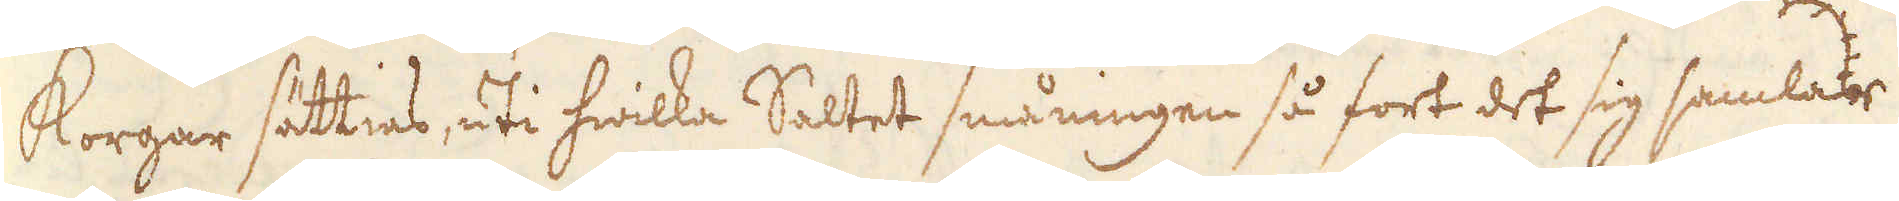Korgar sättias, uti hwilka Saltet småningen så fort det sig samlar
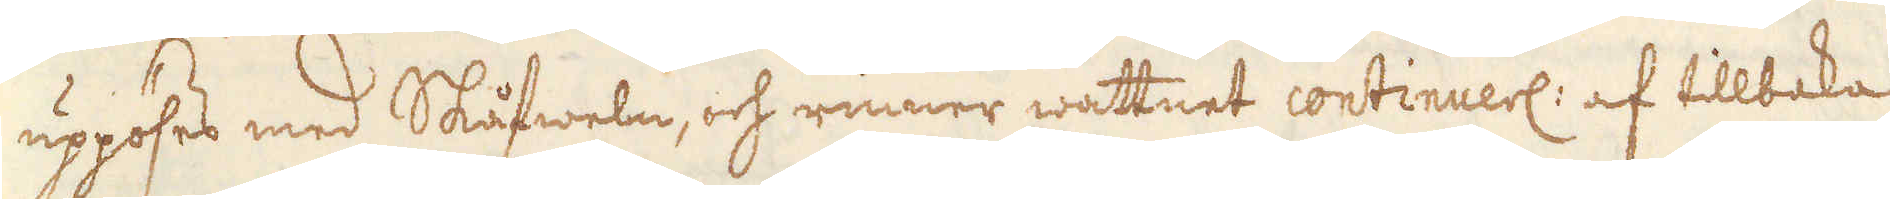uppöses med Skåfweln, och rinner wattnet continuerl: af tillbaka
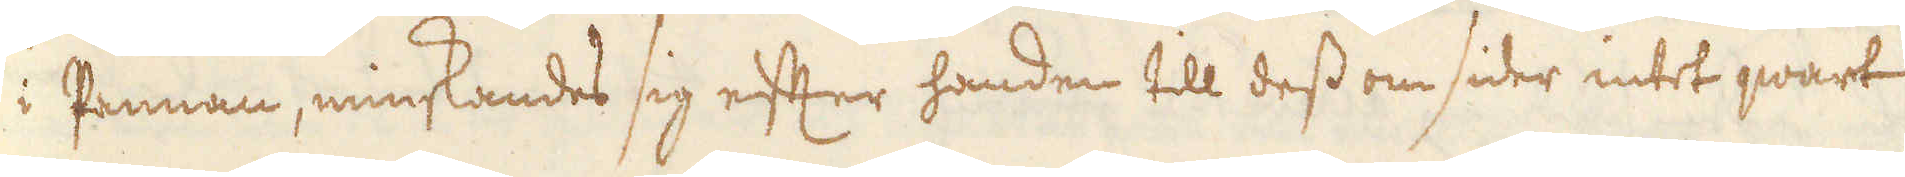i Pannan, minskandes sig efter handen till dess om sider intet qwart
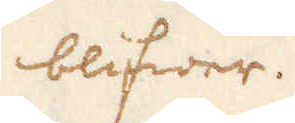blifwer.
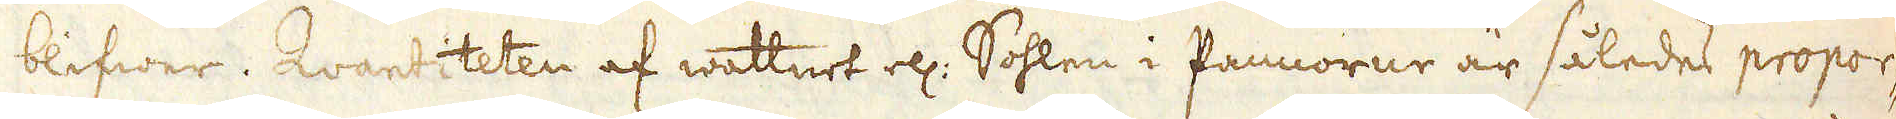blifwer. Qvantiteten af wattnet ell: Sohlen i Pannorne är således propor-
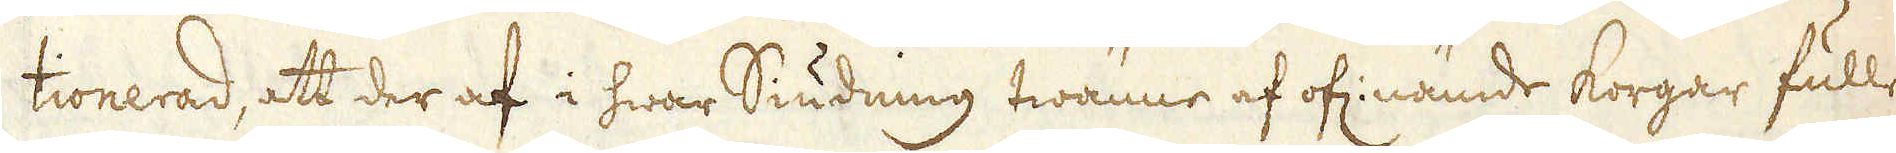tionerad, att der af i hwar Siudning twänne af of: nämde korgar fulle
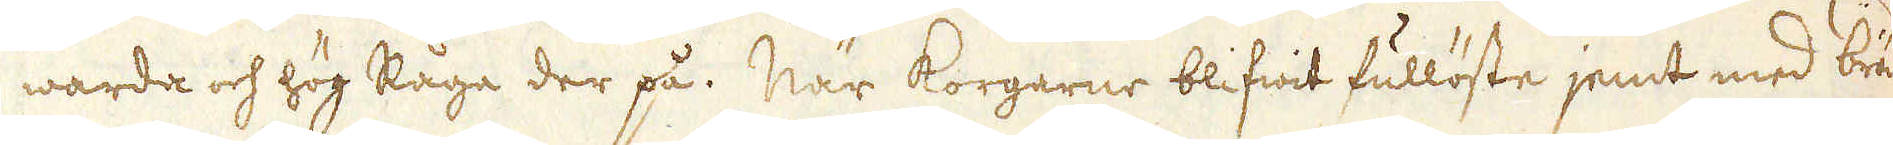warda och hög Råga der på. När korgarne blifwit fullöste jemt med brä-
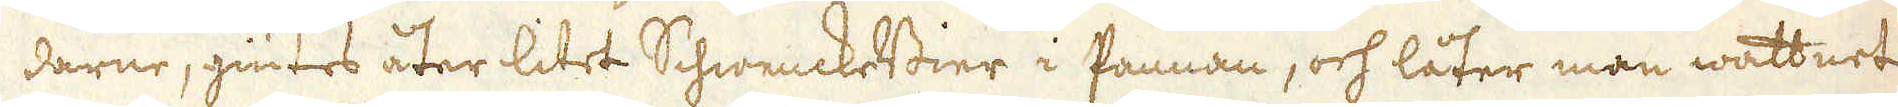darne, giutes åter litet SchwenckeBier i Pannan, och låter man wattnet
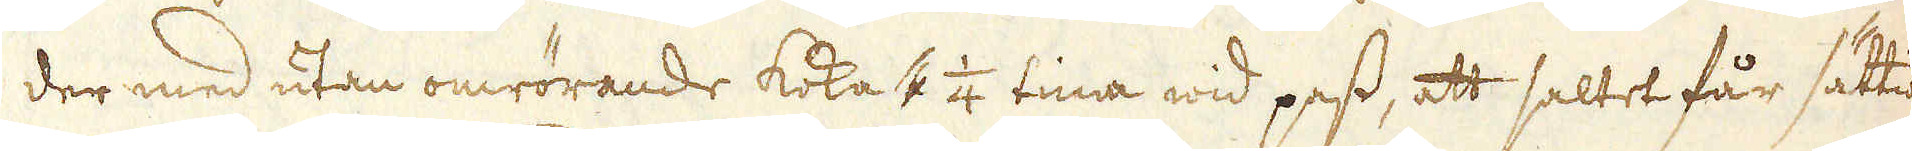der med utan omrörande koka 1 1/4 tima wid pass, att saltet får sättia
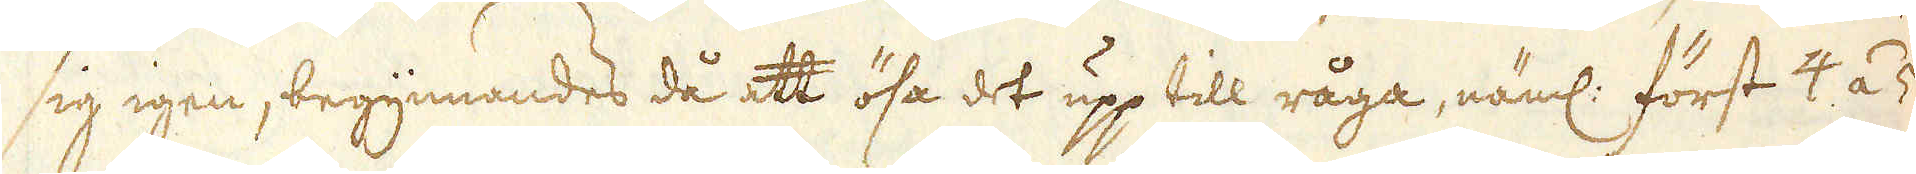sig igen, begynnandes då att ösa det upp till råga, näml: först 4 á 5
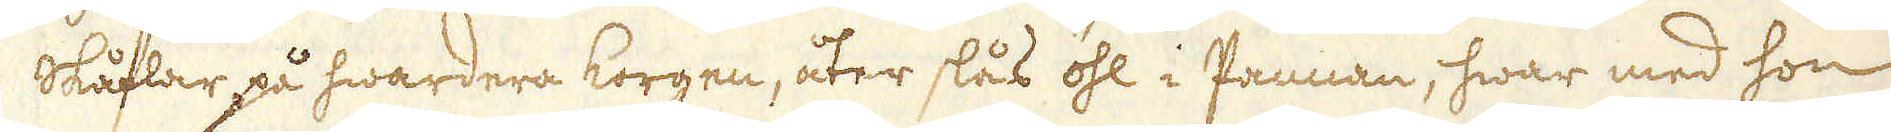Skåflar på hwardera korgen, åter slås öhl i Pannan, hwar med hon
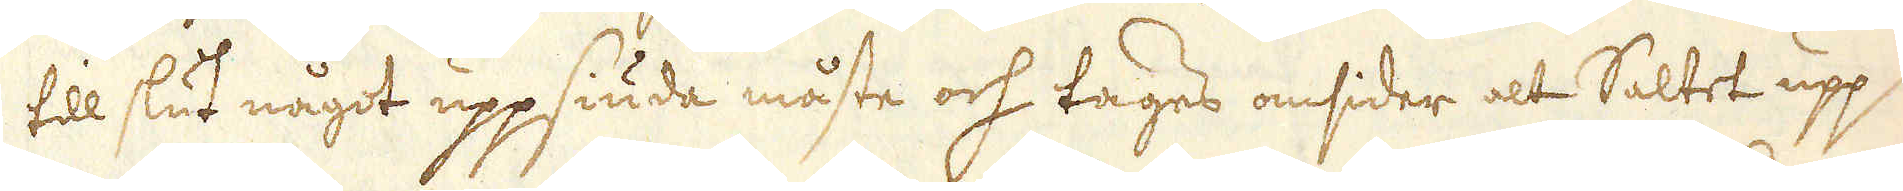till slut något uppsiuda måste och tages omsider alt Saltet upp
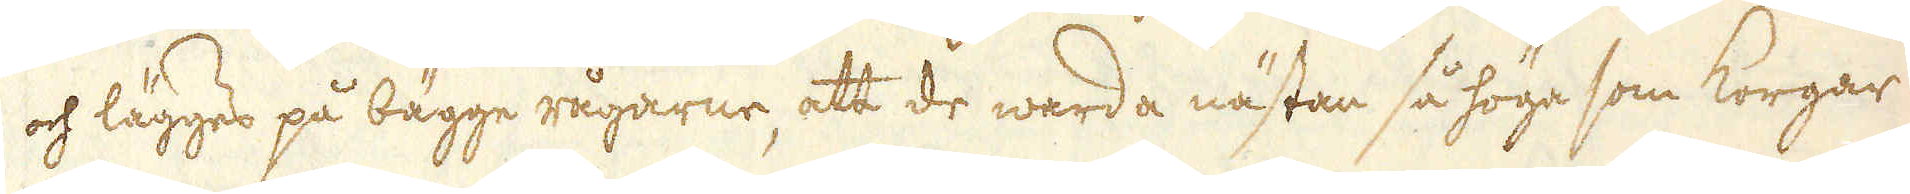och lägges på bägge rågarne, att de warda nästan så höge som Korgar-
